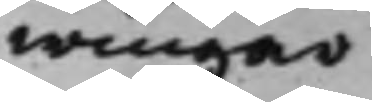wingar
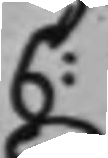C:
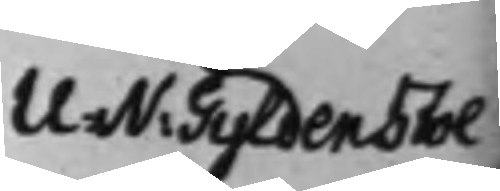U: N: Gyldenstol¬
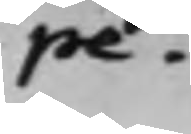pe.
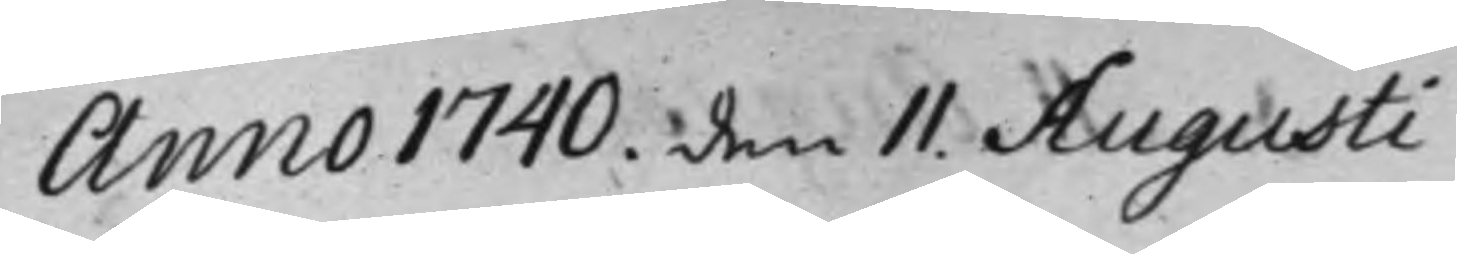Anno 1740. den 11. Augusti
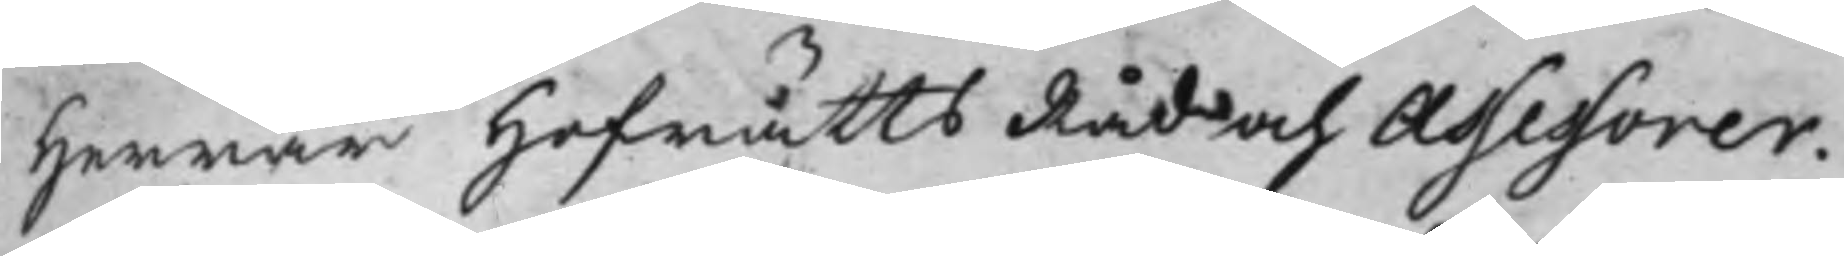Herrar HofrättsRåd och Assessorer.
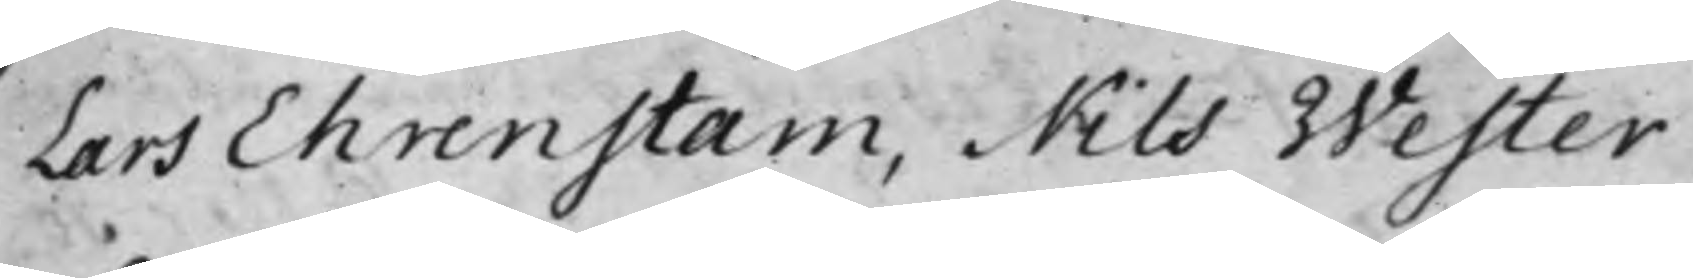Lars Ehrenstam, Nils Wester,
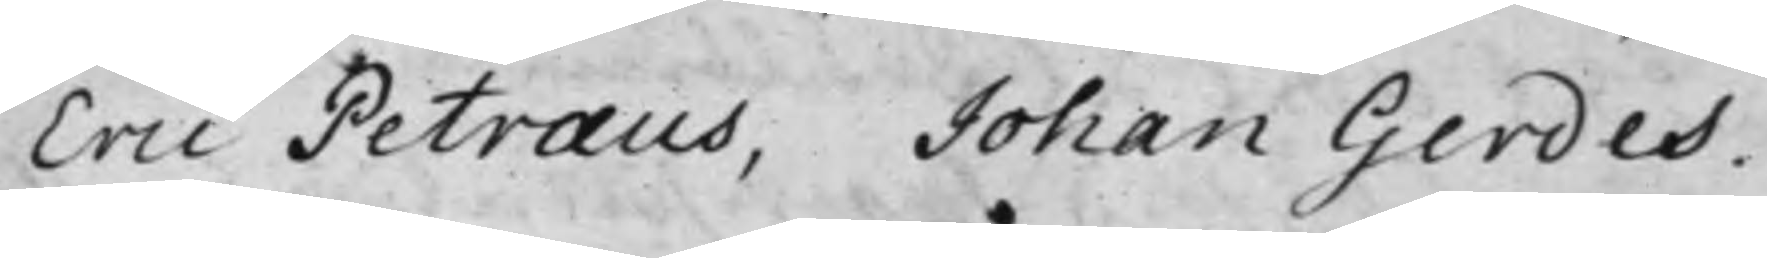Eric Petræus, Johan Gerdes.
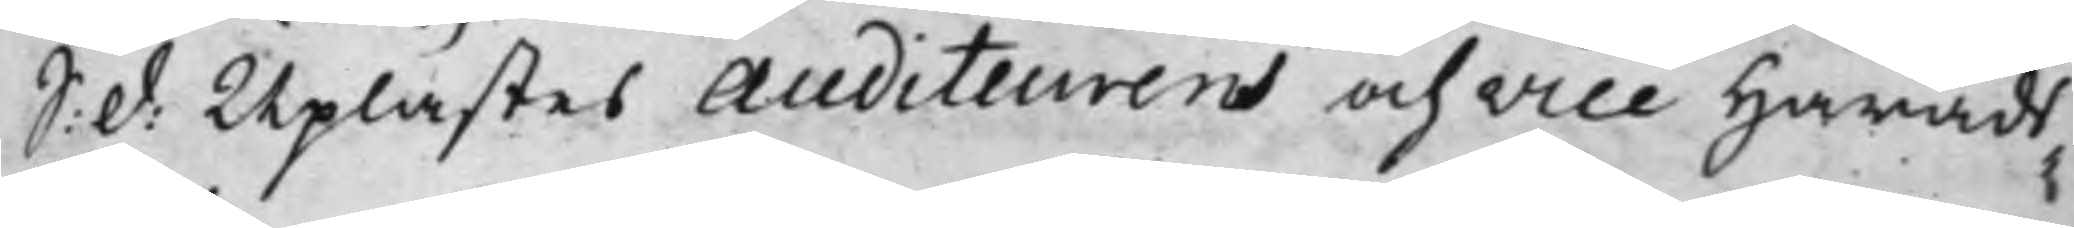S: d: Uplästes Auditeurens och Vice Härads¬
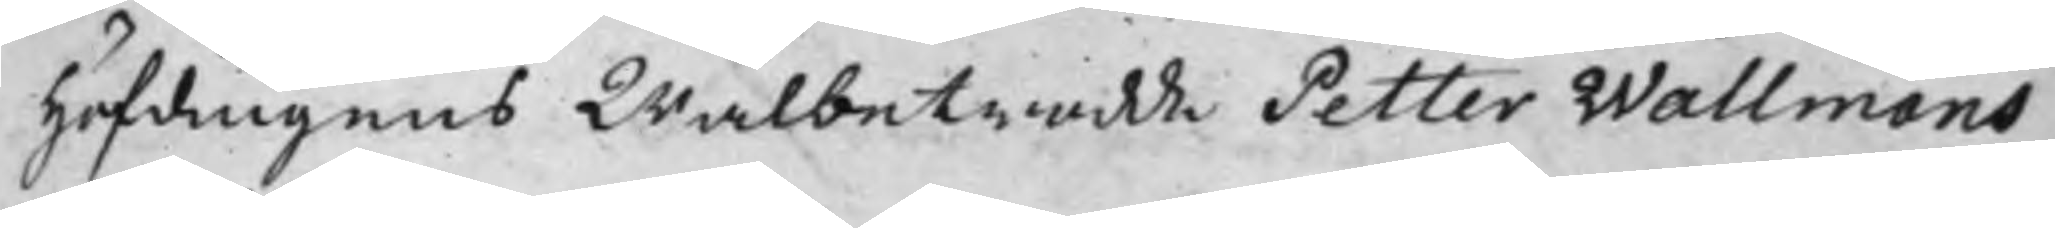Höfdingens Wälbetrodde Petter Wallmans
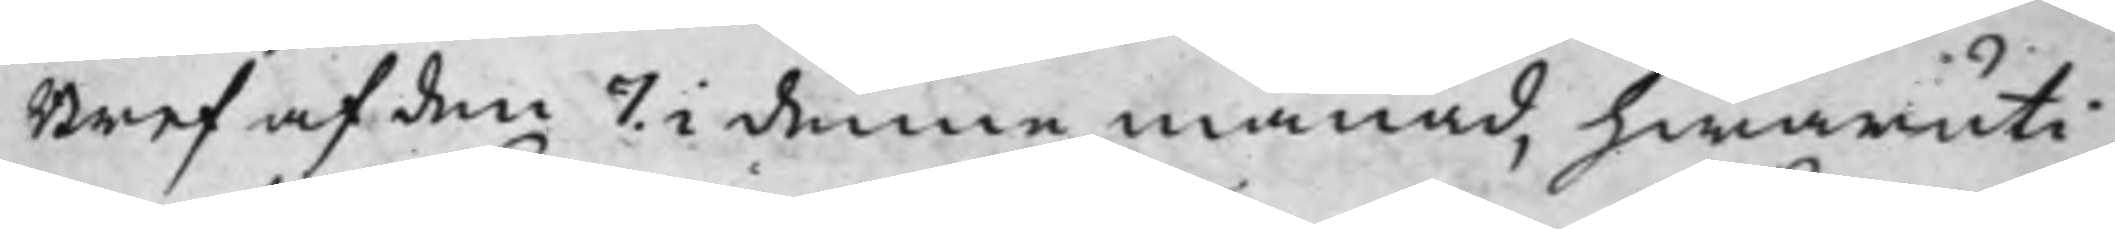Bref af den 7. i denna månad, hwaruti
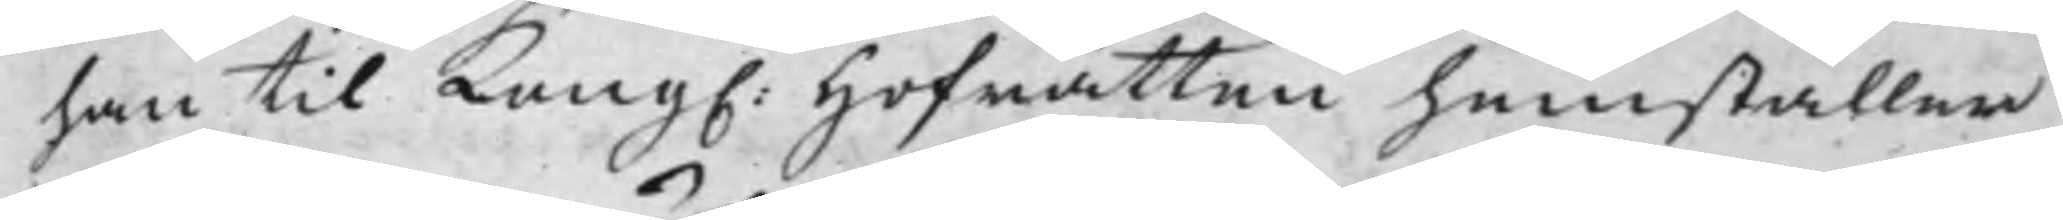han til Kong: Hofrätten hemställer,
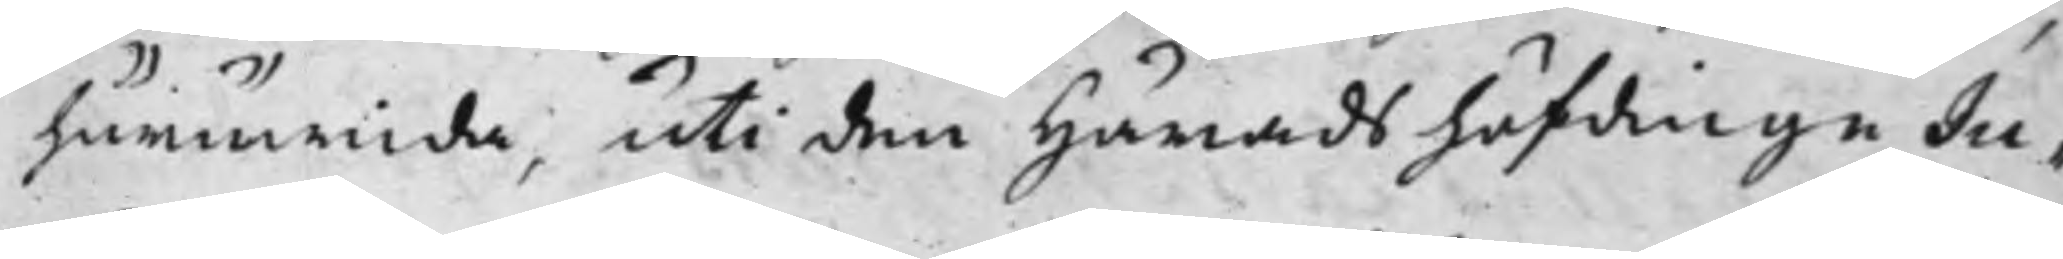huruwida, uti den Häradshöfdinge Ju¬
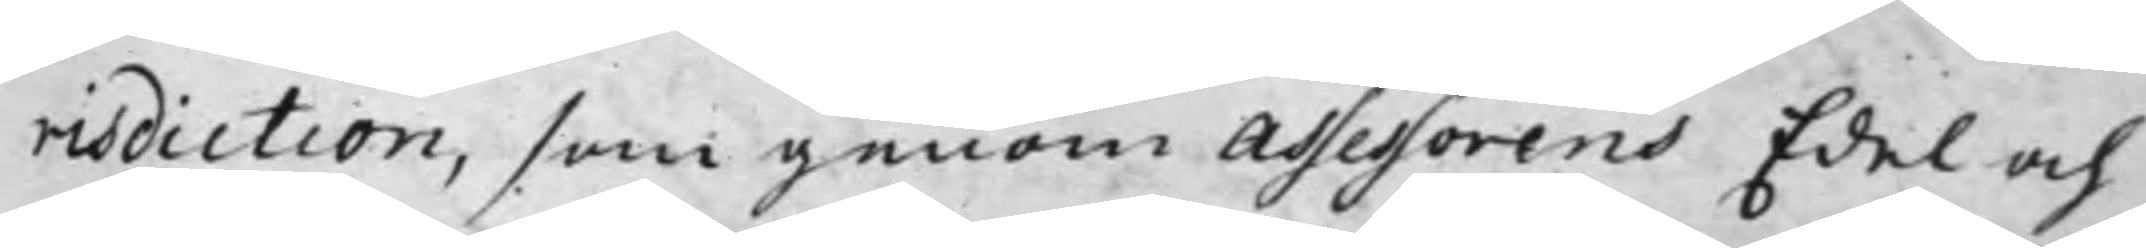risdiction, som genom Assessorens Edel och
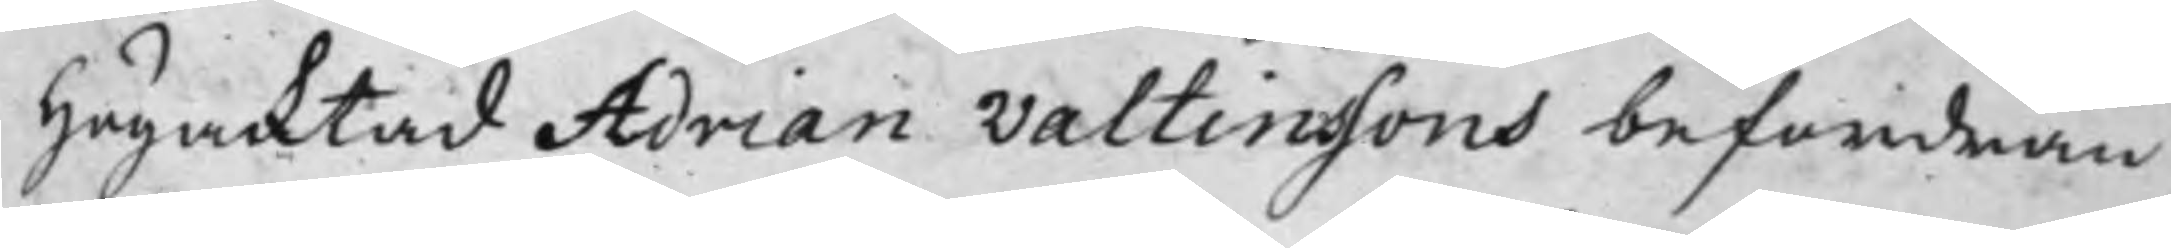Högacktad Adrian Valtinssons befordran
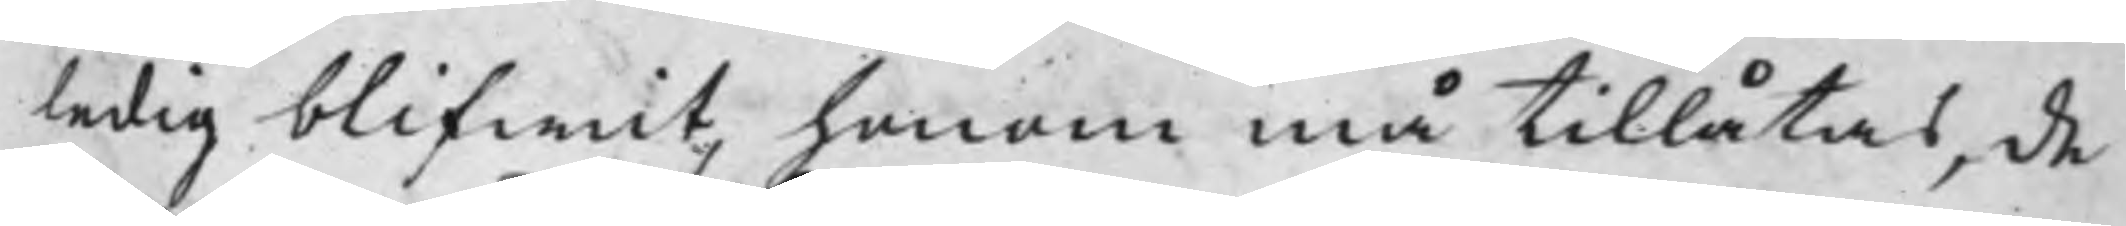ledig blifwit, honom må tillåtas, de
